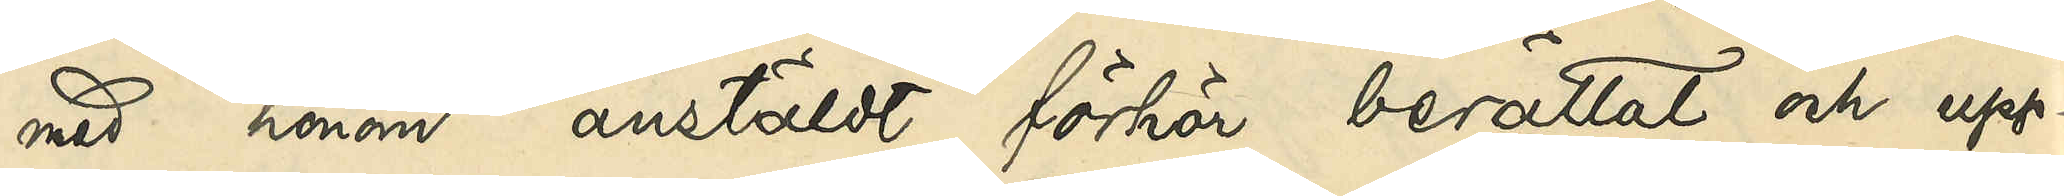med honom anstäldt förhör berättat och upp¬
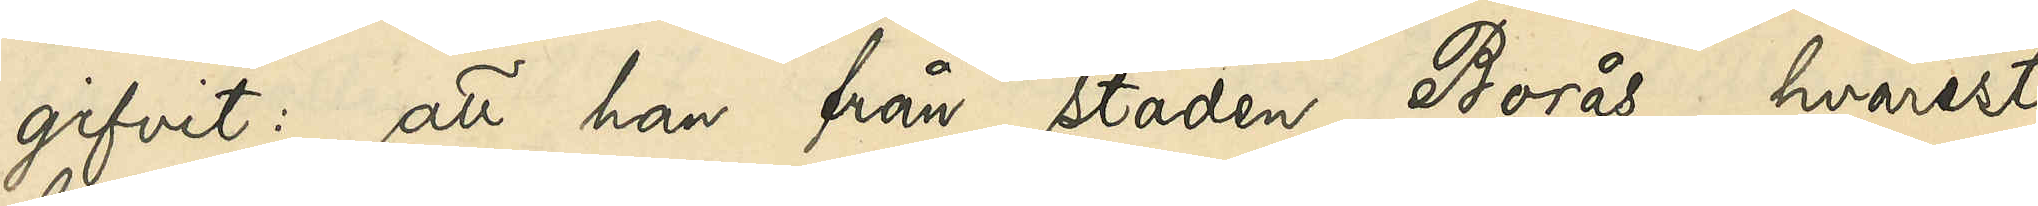gifvit: att han från staden Borås, hvarest
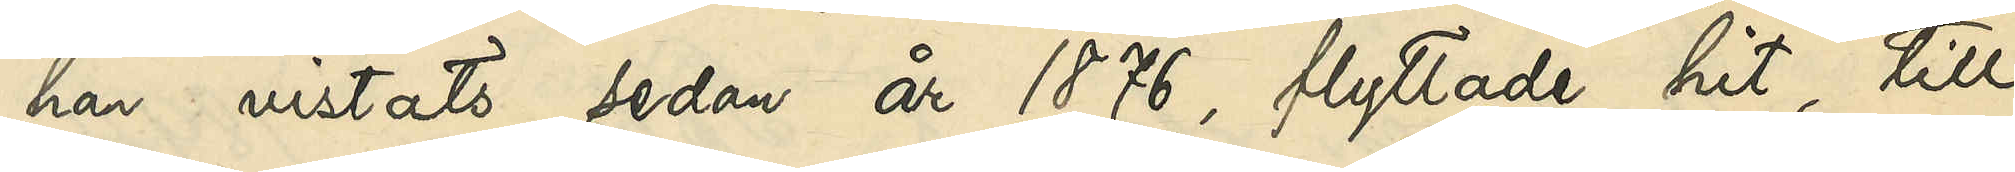han vistats sedan år 1876, flyttade hit till
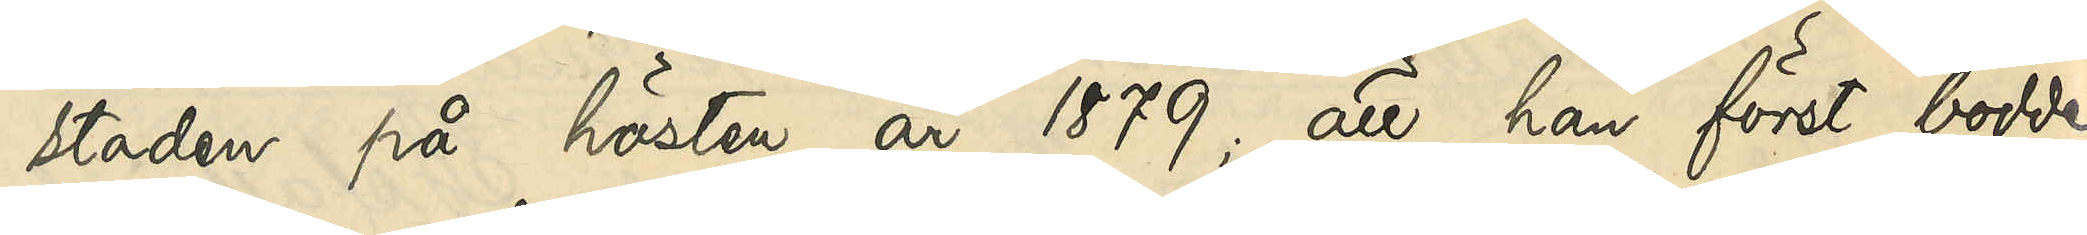staden på hösten år 1879; att han först bodde
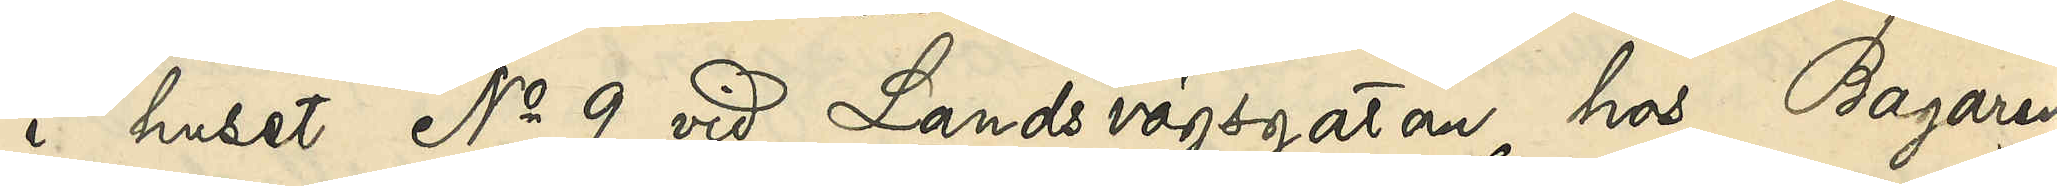i huset No 9 vid Landsvägsgatan hos Bagaren
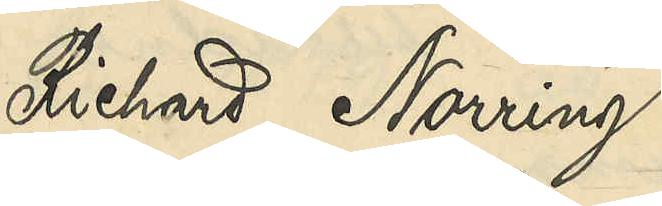Richard Norring
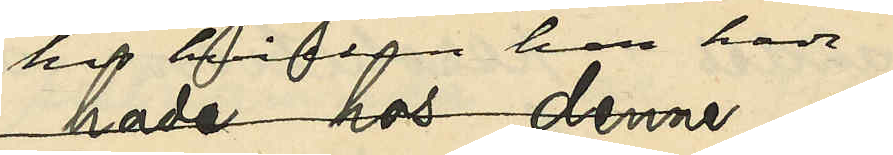hos hvilken han hade
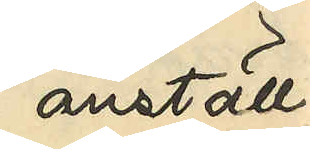anställ¬
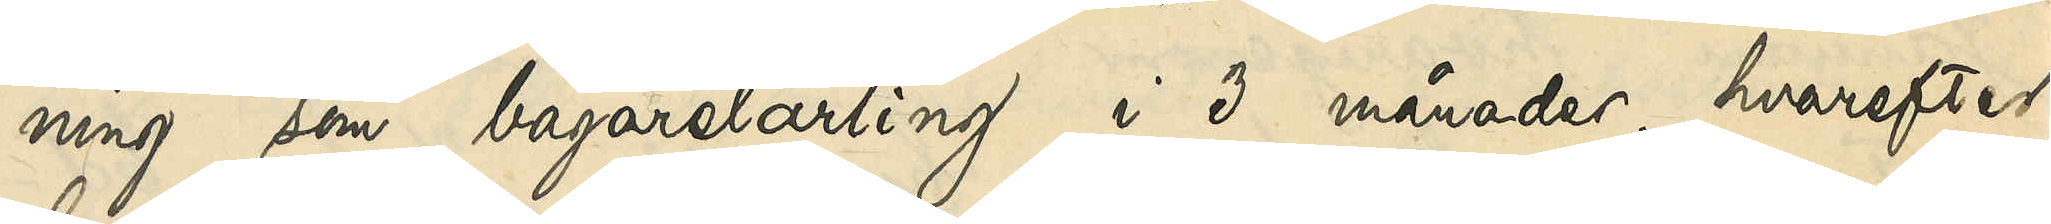ning som bagarelärling i 3 månader, hvarefter
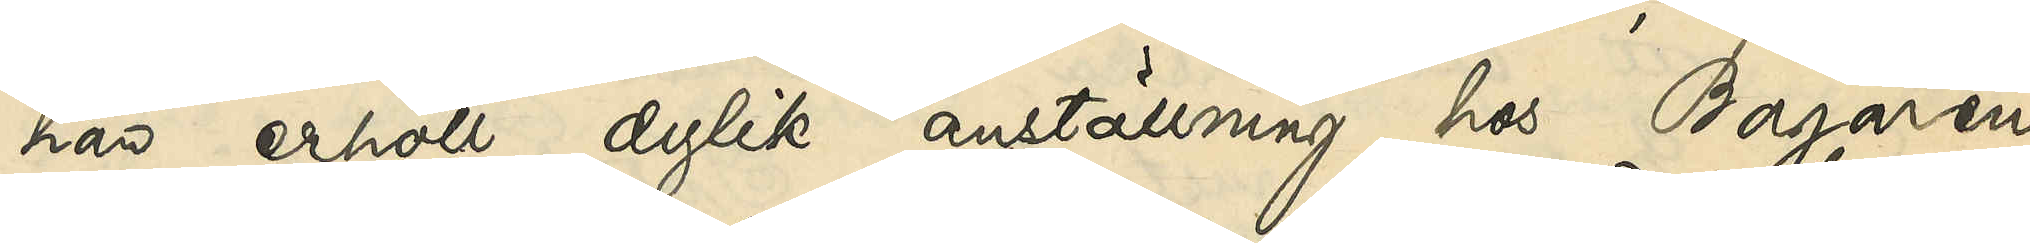han erhöll dylik anställning hos Bagaren
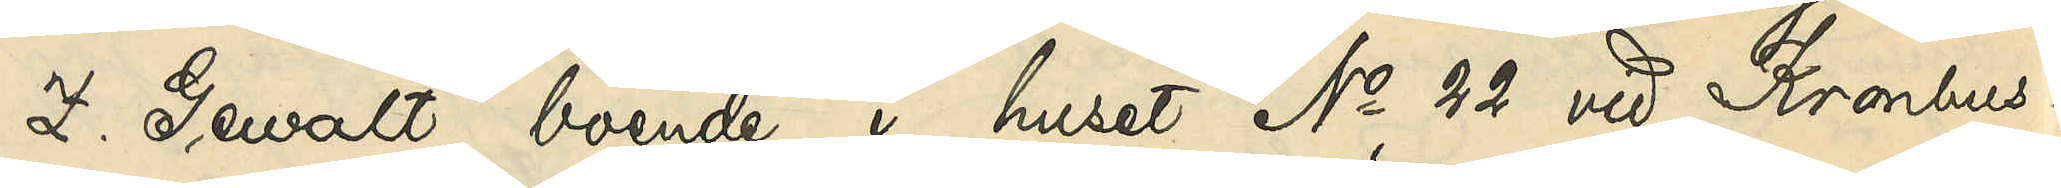Z. Gewalt, boende i huset No 22 vid Kronhus¬
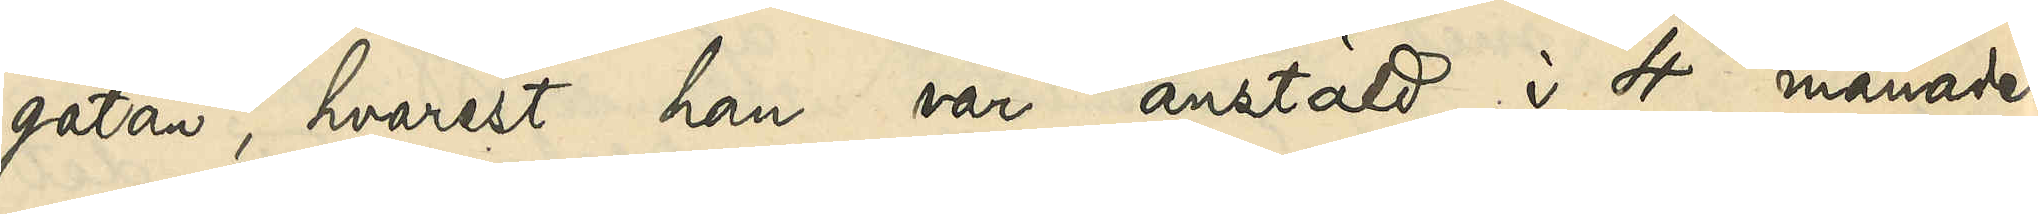gatan, hvarest han var anstäld i 4 månader,
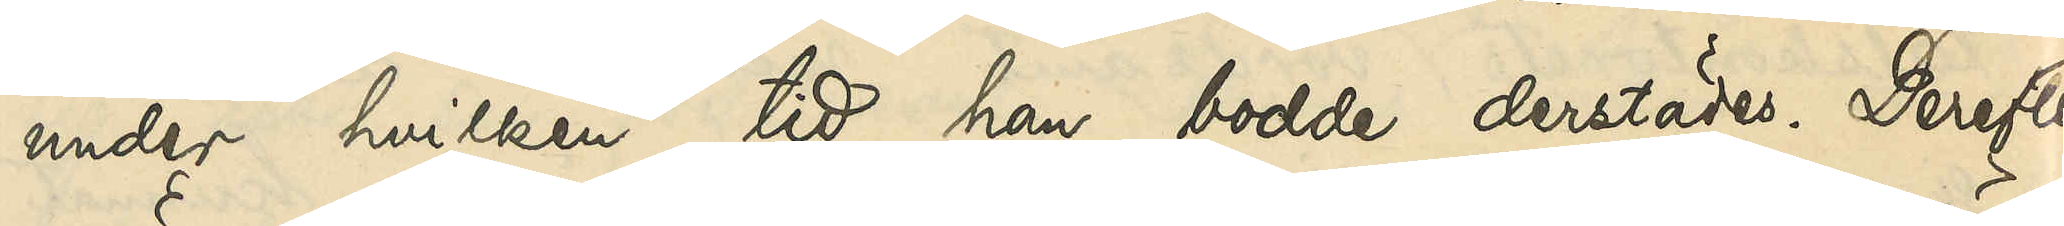under hvilken tid han bodde derstädes. Derefter
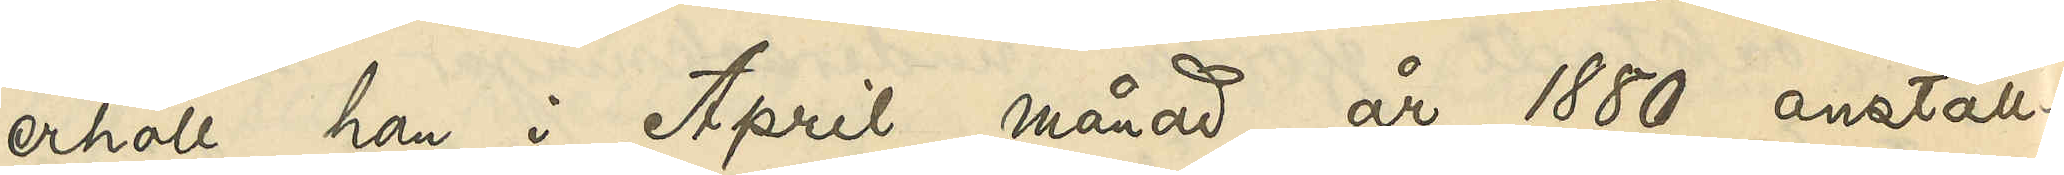erhöll han i April månad år 1880 anställ¬
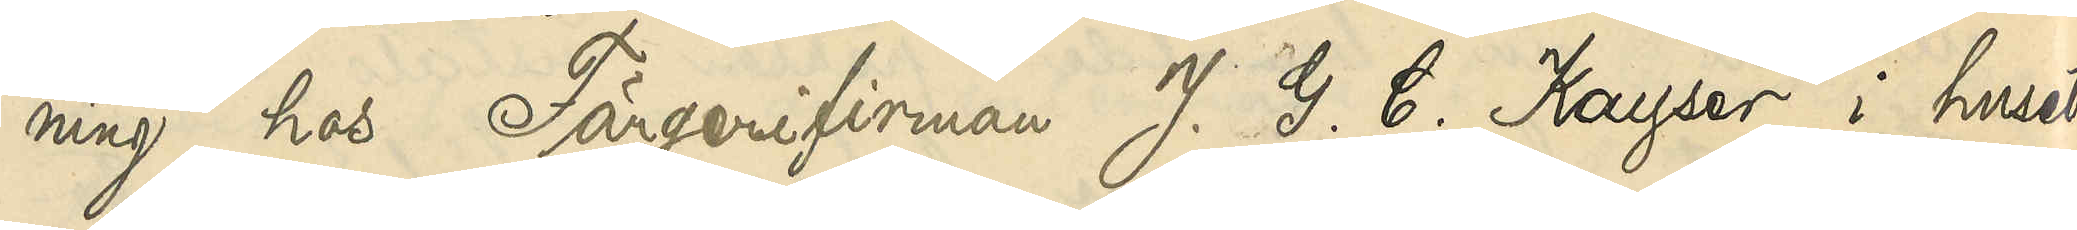ning hos Färgerifirman J. G. C. Kayser i huset
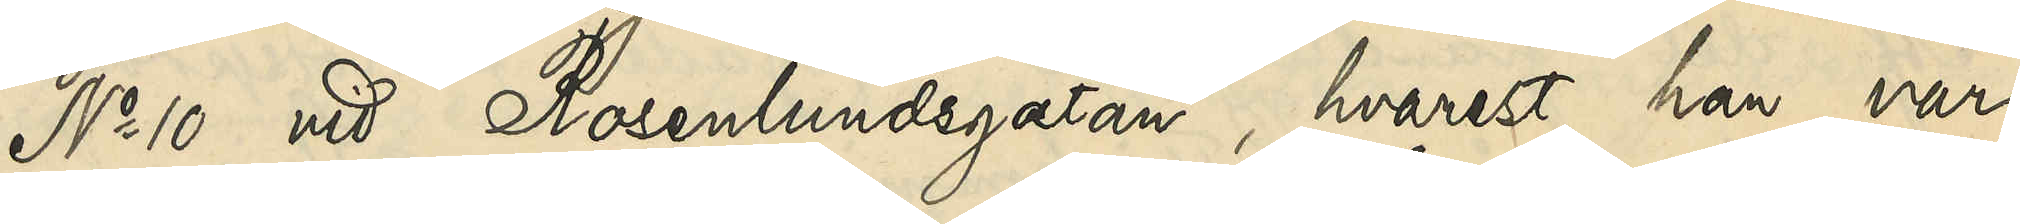No 10 vid Rosenlundsgatan, hvarest han var
